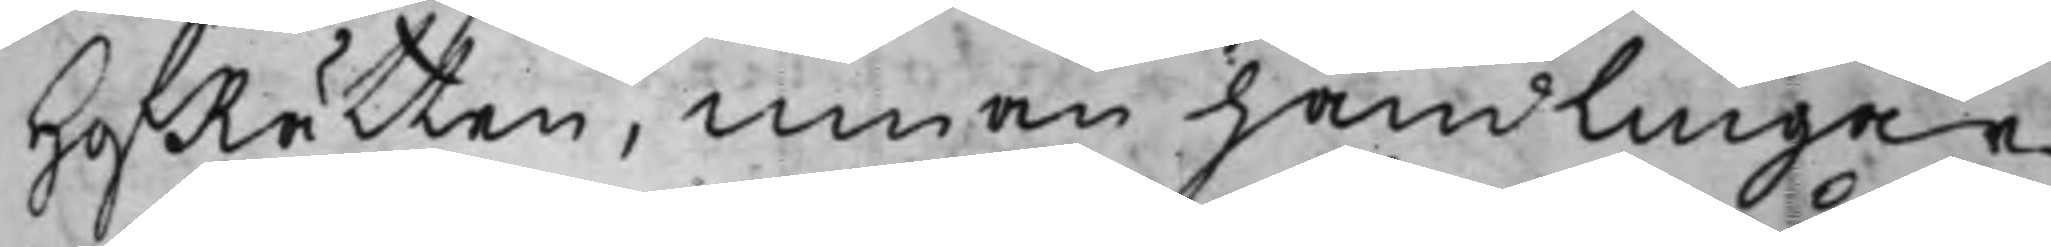HofRätten, innan handlingar¬
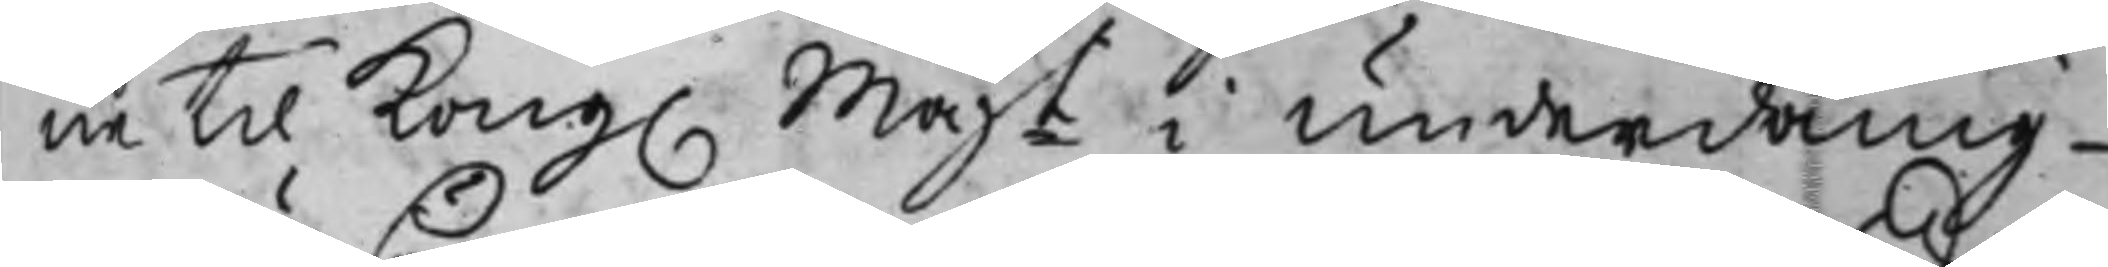ne til Kong. Majt i underdånig¬
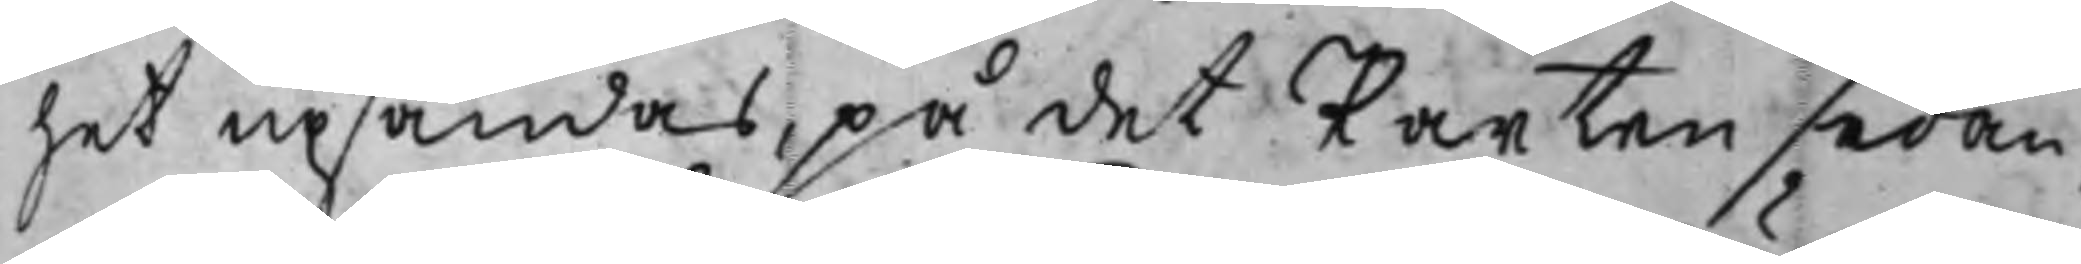het upsändas, på det Parten sedan,
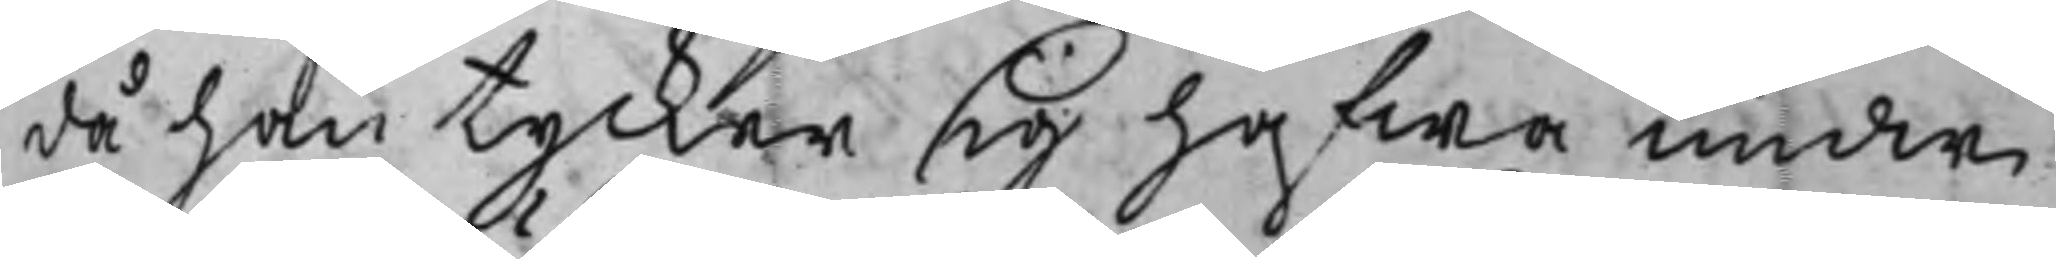då han tycker sig hafwa undwi¬
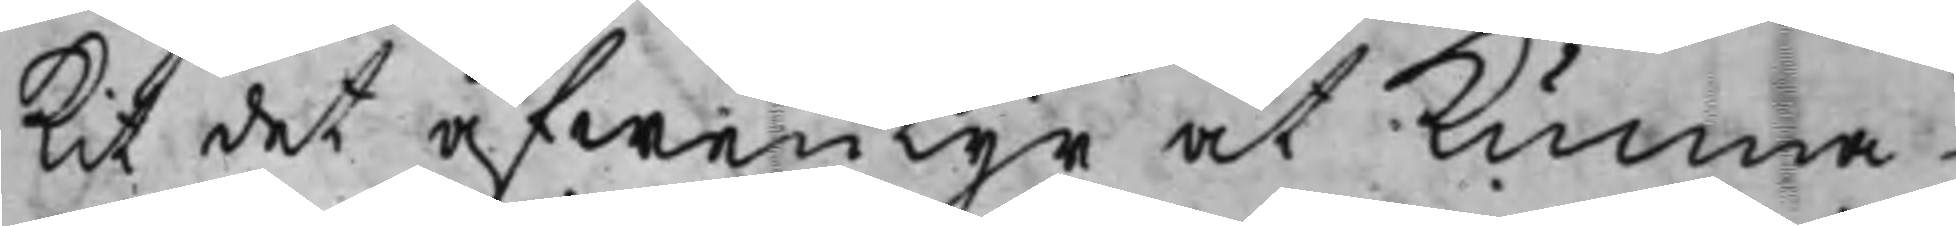kit det äfwentyr at Kunna
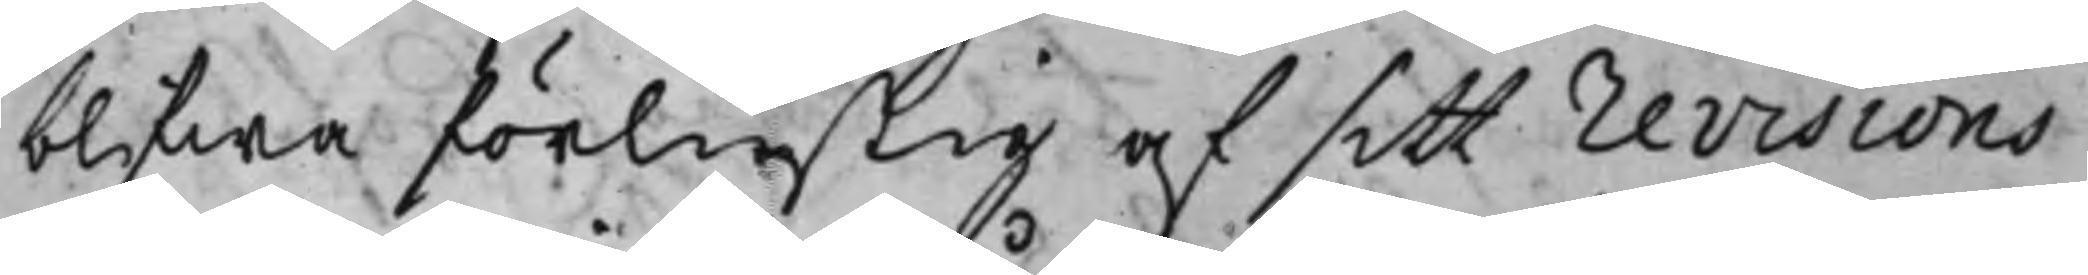blifwa förlustig af sitt revisions
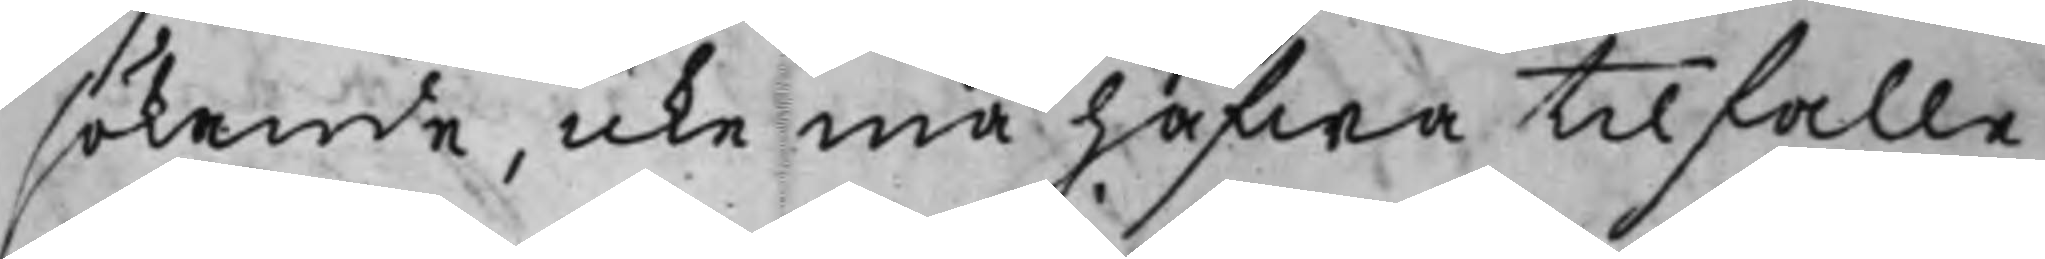sökande, icke må hafwa tilfalle
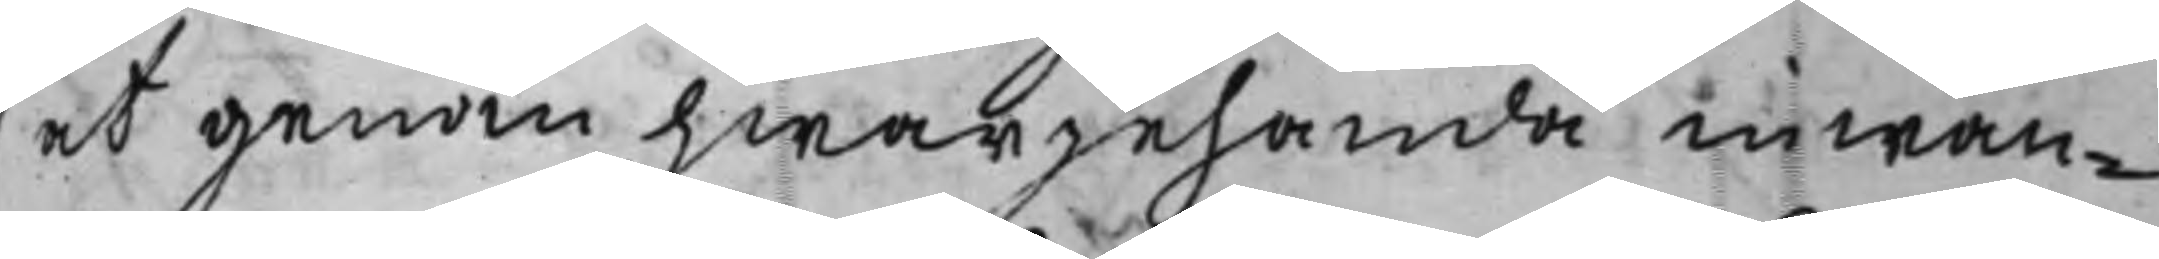at genom hwarjehanda inwän¬
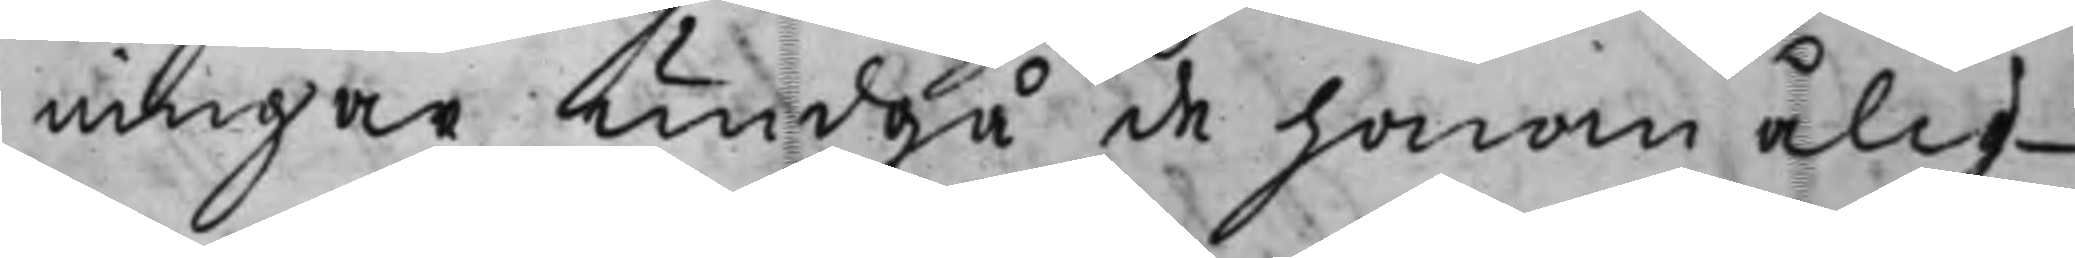ningar undgå de honom ålig¬
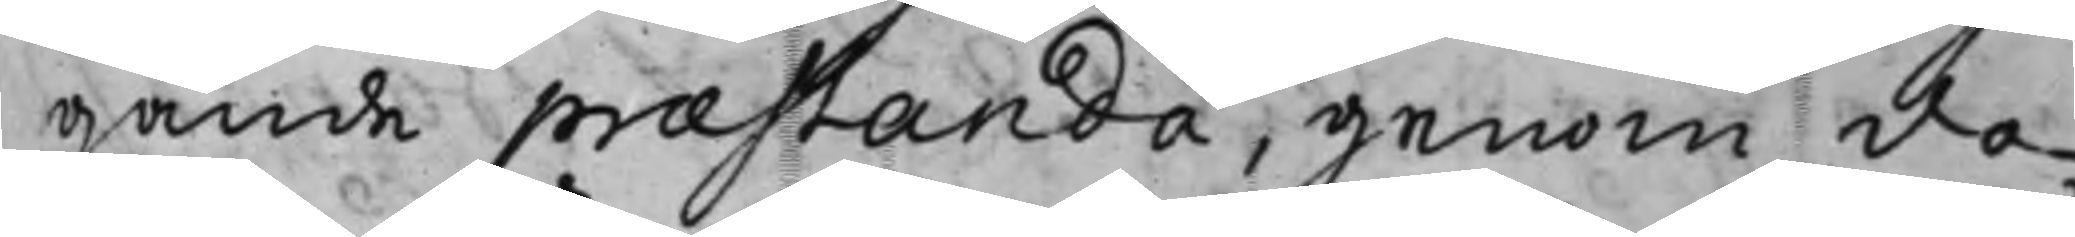gande præstanda, genom do¬
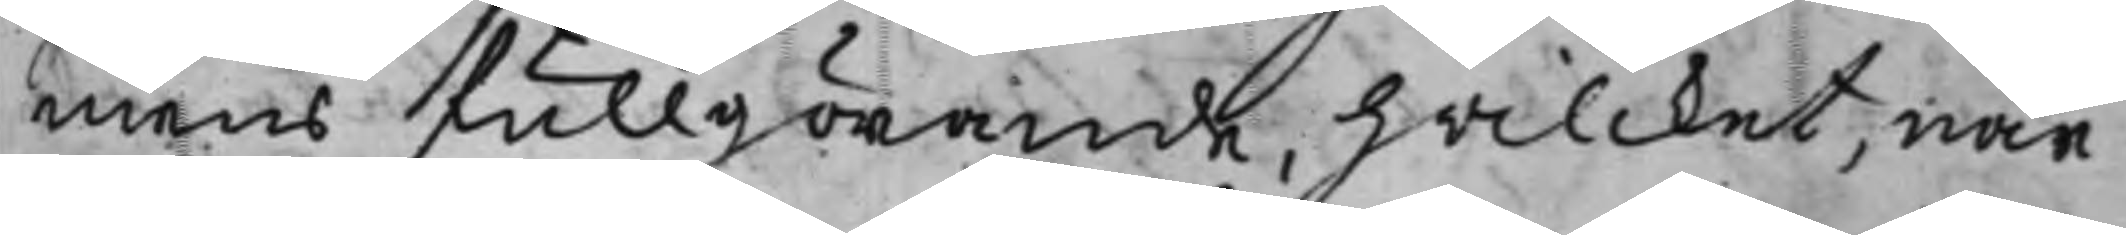mens fullgörande, hwilcket, när
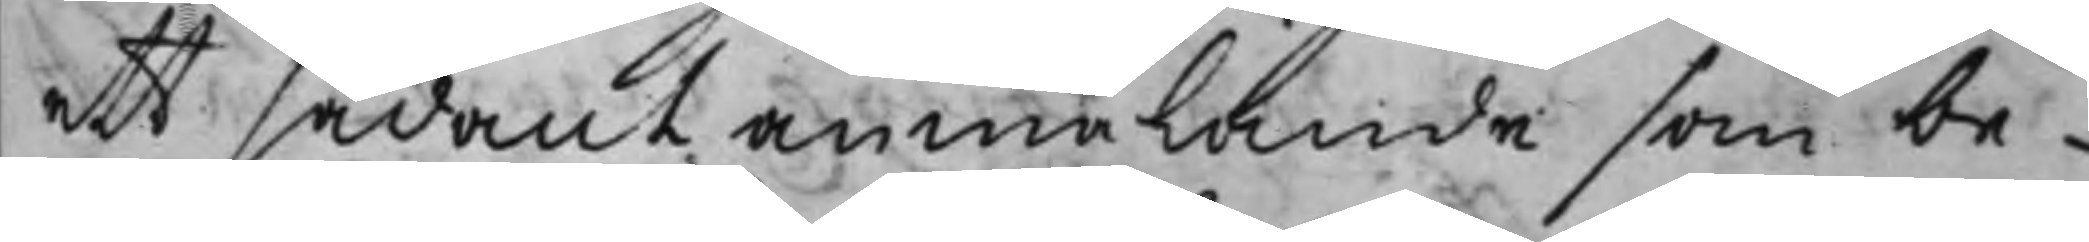ett sådant anmälande som be¬
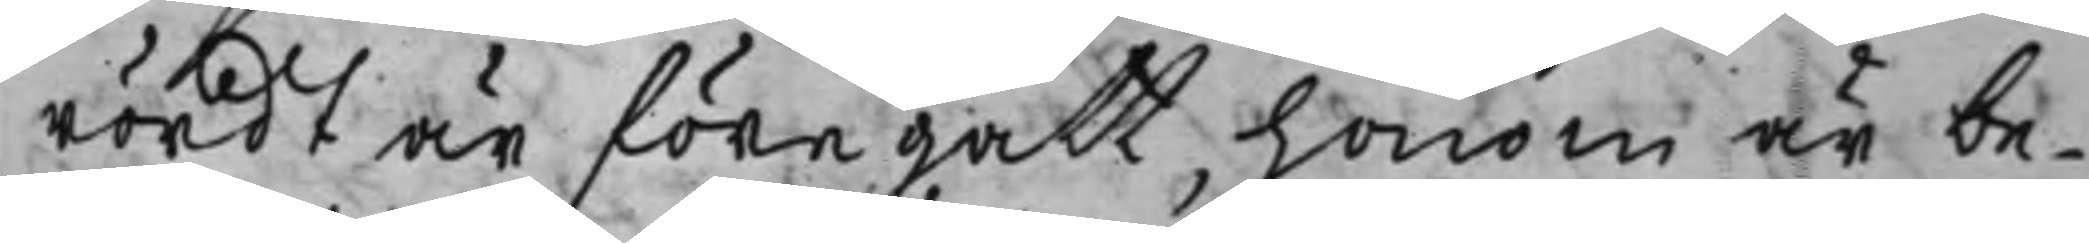rördt är föregått, honom är be¬
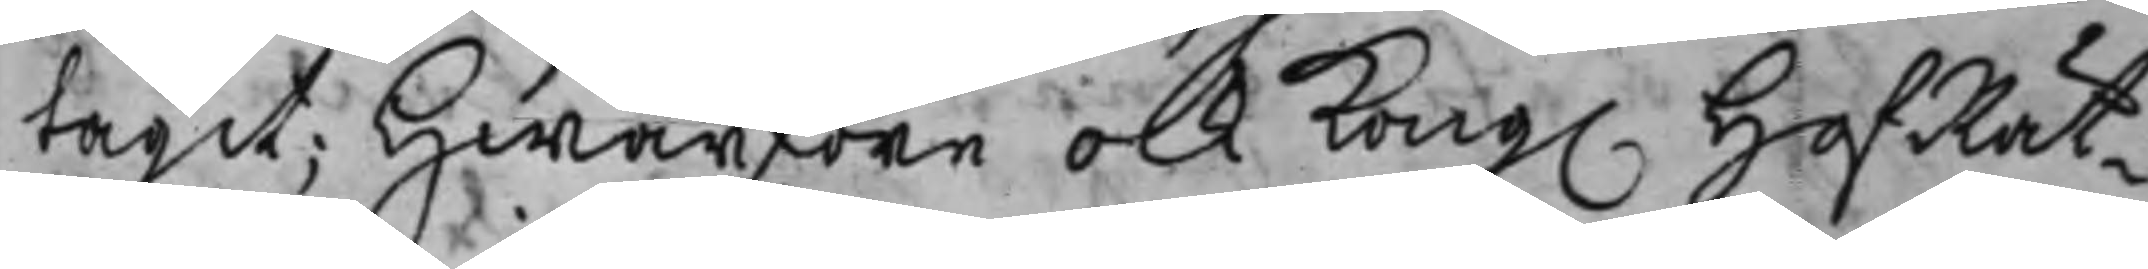tagit; Hwarföre ock Kong. HofRät¬
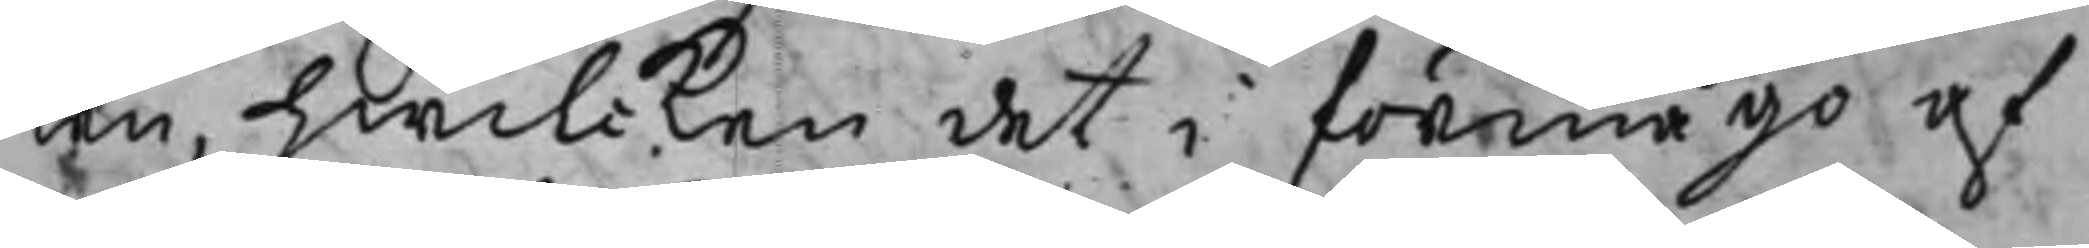ten, hwilcken det i förmågo af
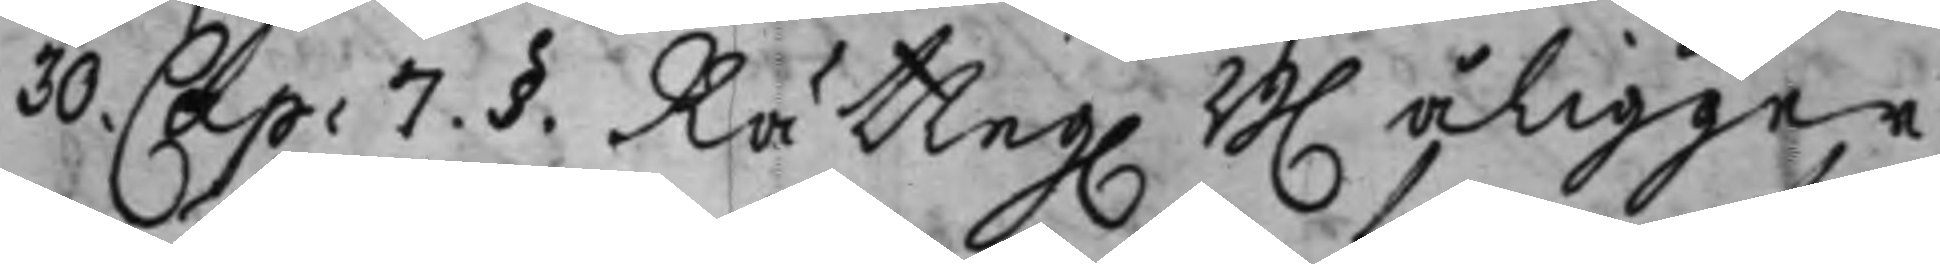30. Cap. 7. §. Rätteg. B. åligger
